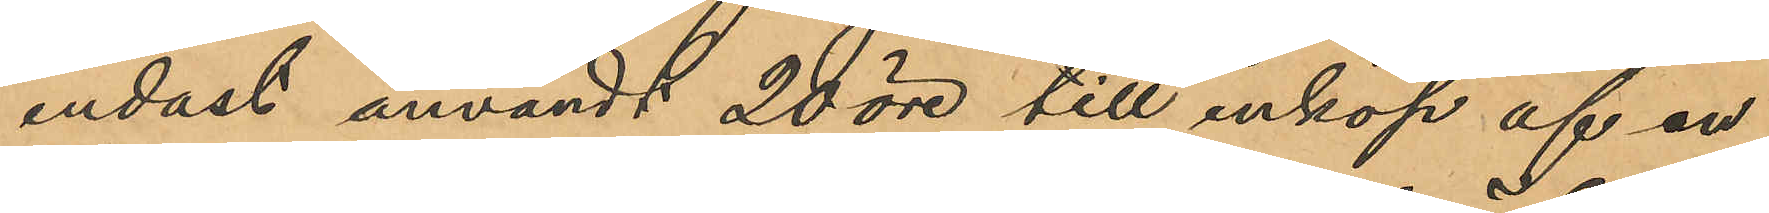endast användt 20 öre till inköp af en
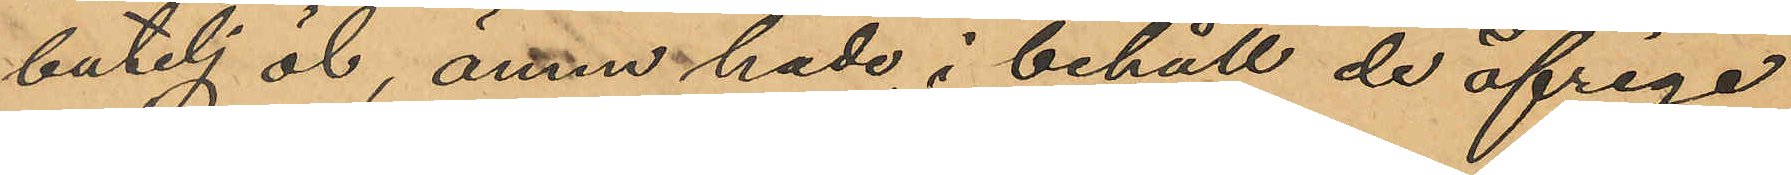butelj öl, ännu hade i behåll de öfriga
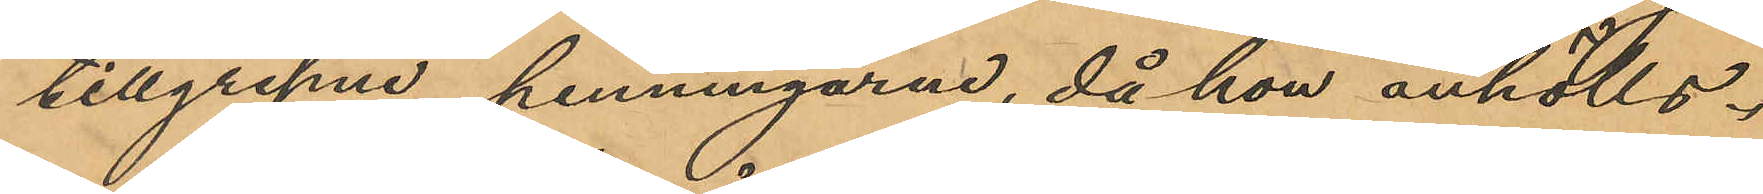tillgripne penningarne, då hon anhölls.
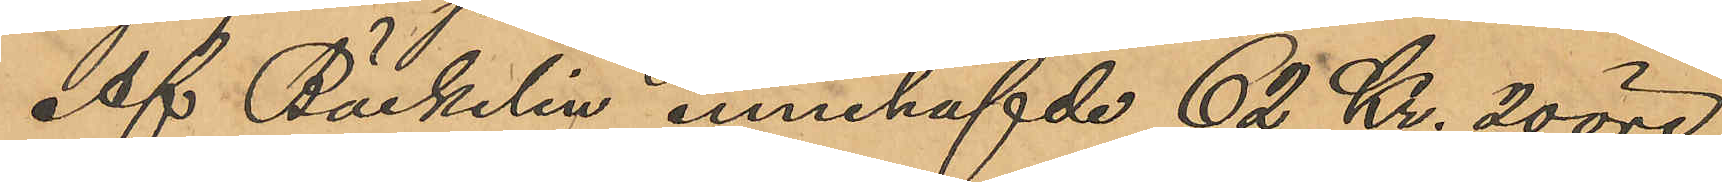Af Bäckelin innehafvde 62 Kr. 20 öre
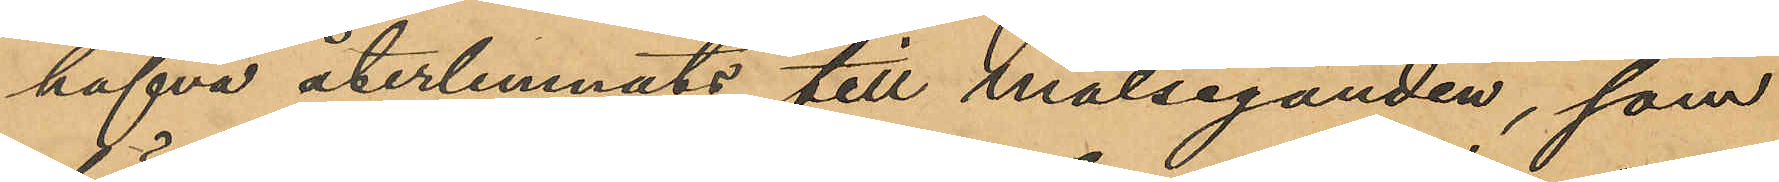hafva återlemnats till målseganden, som
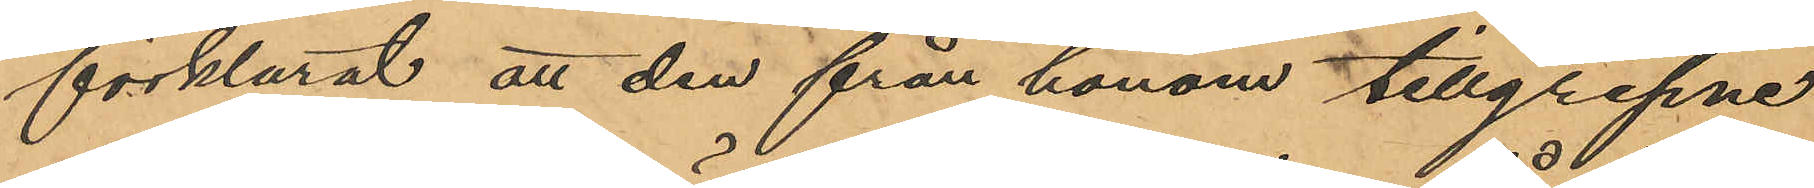förklarat att den från honom tillgripne
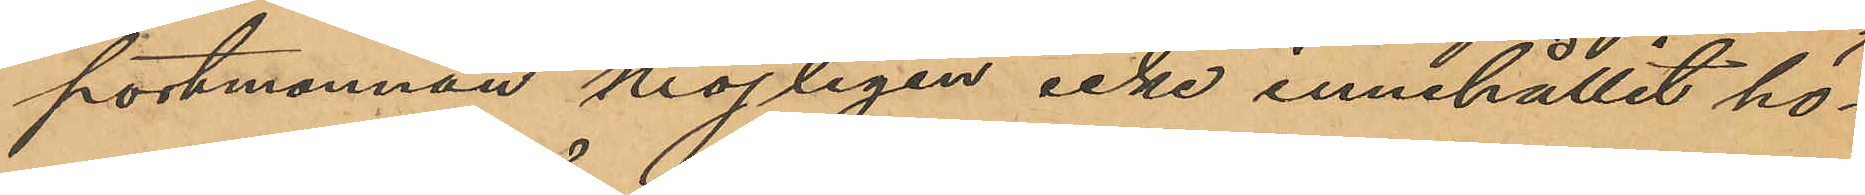portmonnän möjligen icke innehållit hö¬
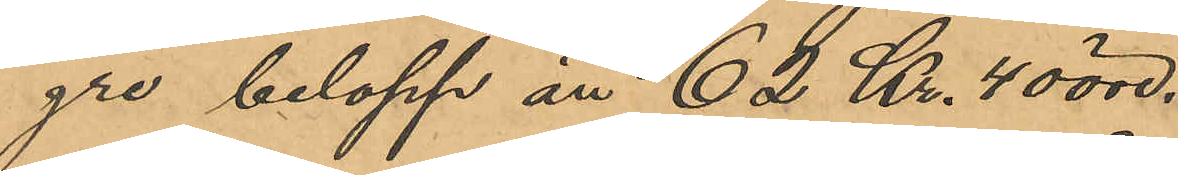gre belopp ån 62 Kr. 40 öre.
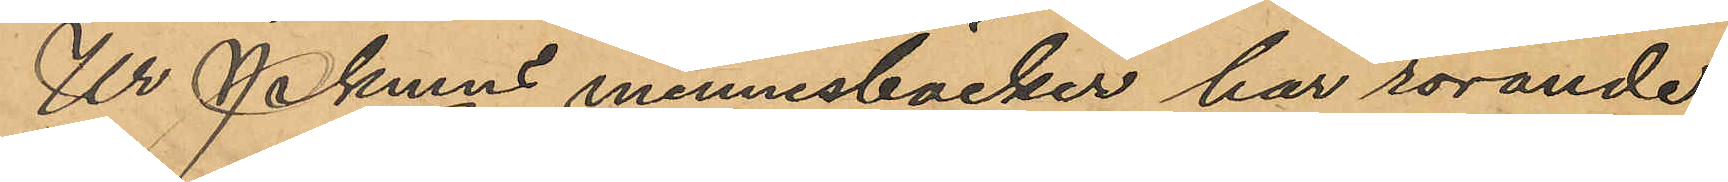Ur Pkmns minnesböcker har rörande
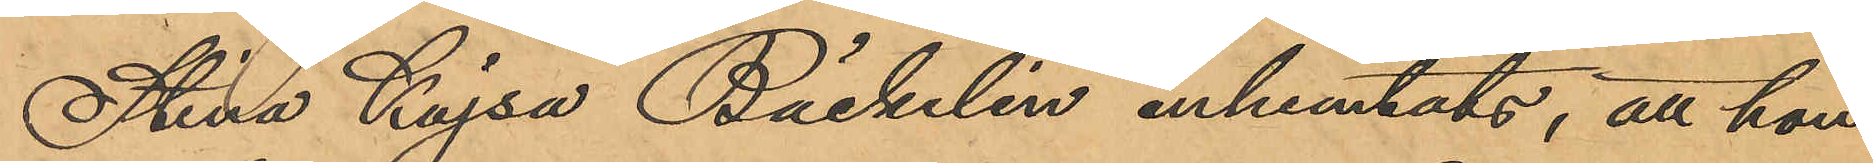Stina Kajsa Bäckelin inhemtats, att hon
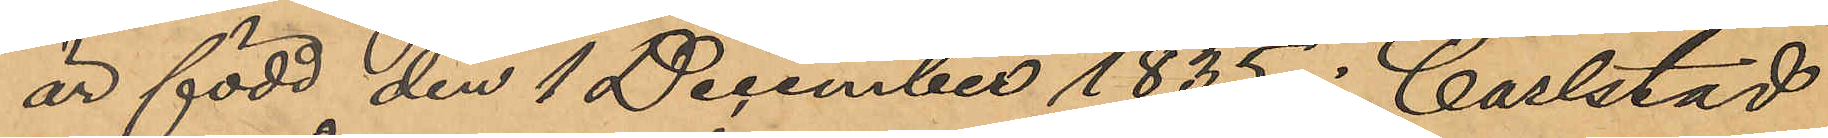är född den 1 December 1835 i Carlstad
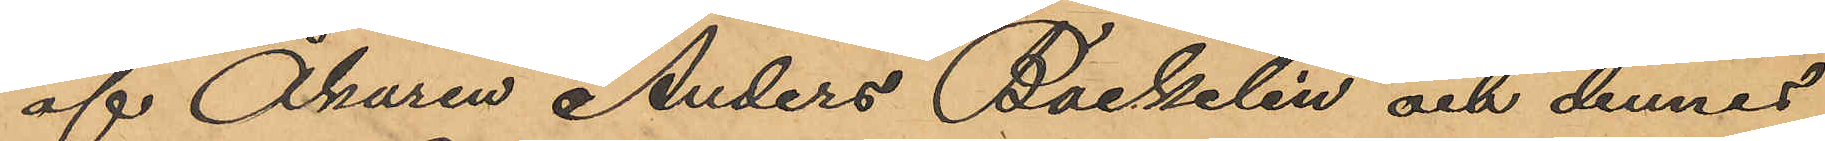af Åkaren Anders Bäckelin och dennes
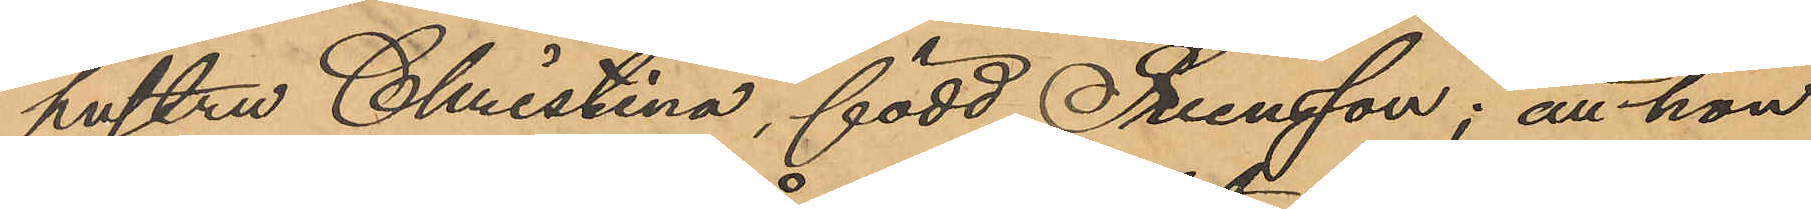hustru Christina, född Svensson; att hon
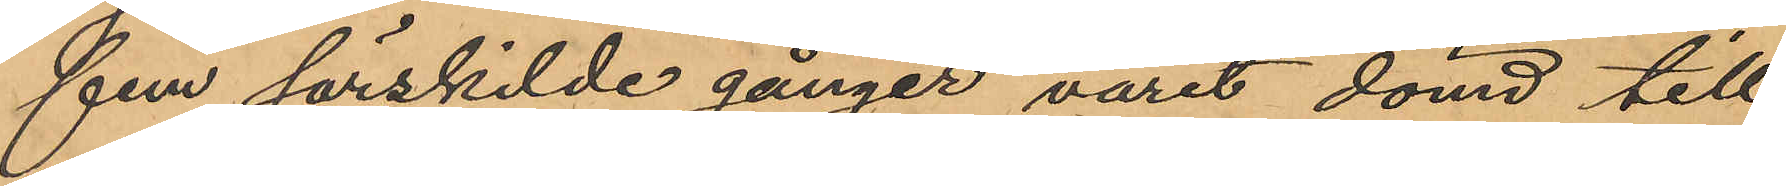fem särskilde gånger varit dömd till
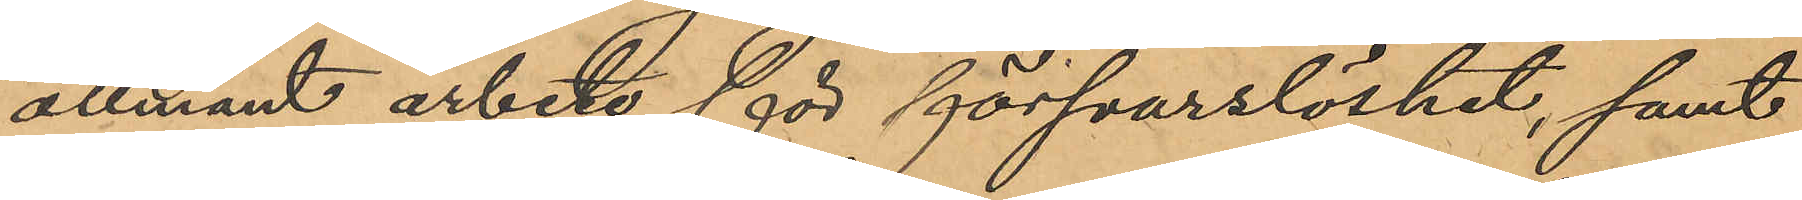allmänt arbete för försvarslöshet, samt
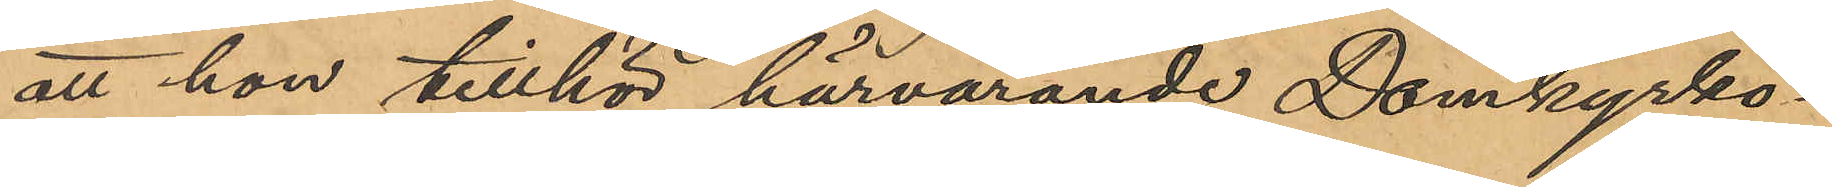att hon tillhör härvarande Domkyrko¬
